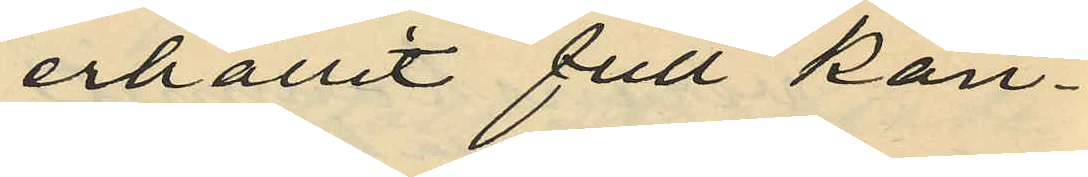erhållit full kän¬
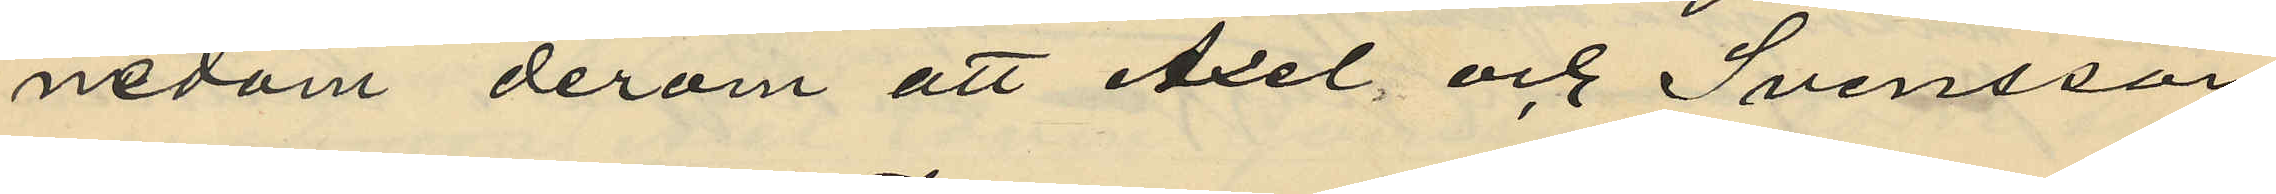nedom derom att Axel och Svensson
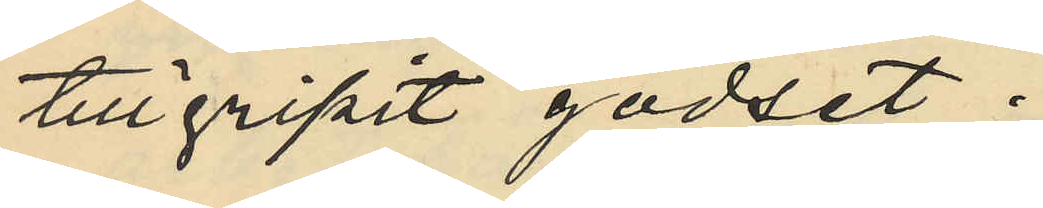tillgripit godset;
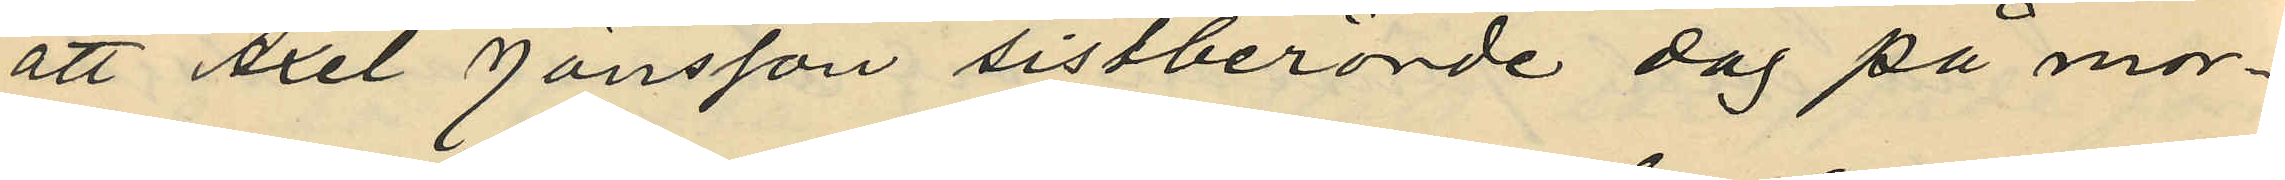att Axel Jönsson sistberörde dag på mor¬
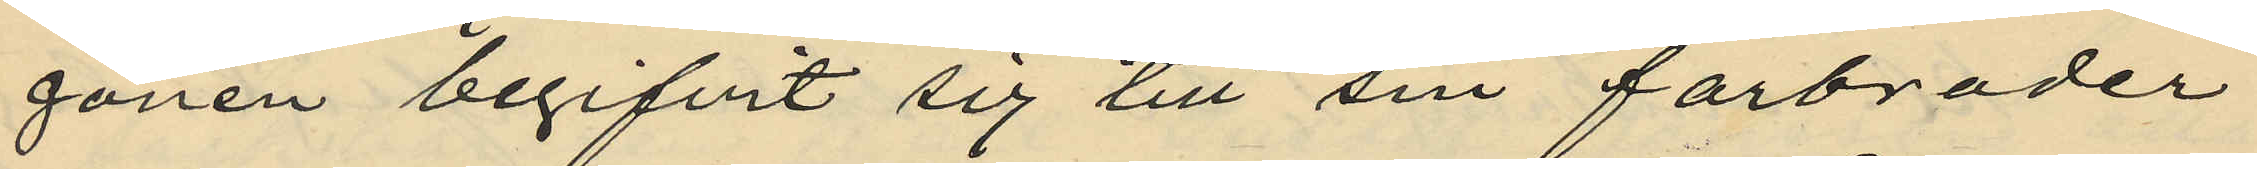gonen begifvit sig till sin farbroder
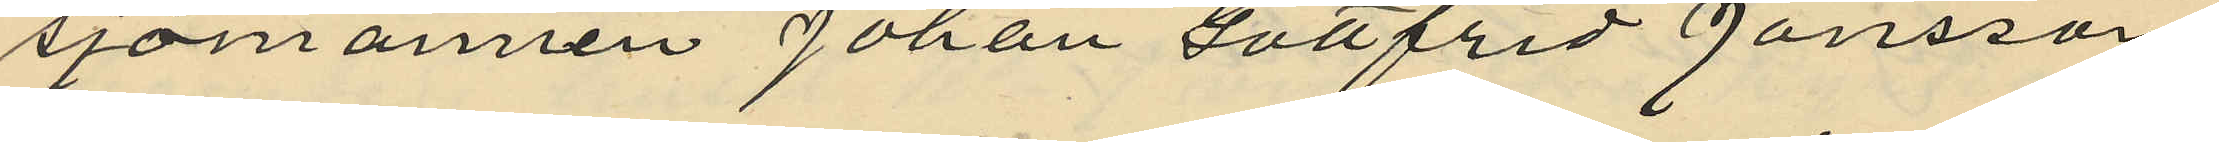sjömannen Johan gottfrid Jönsson,
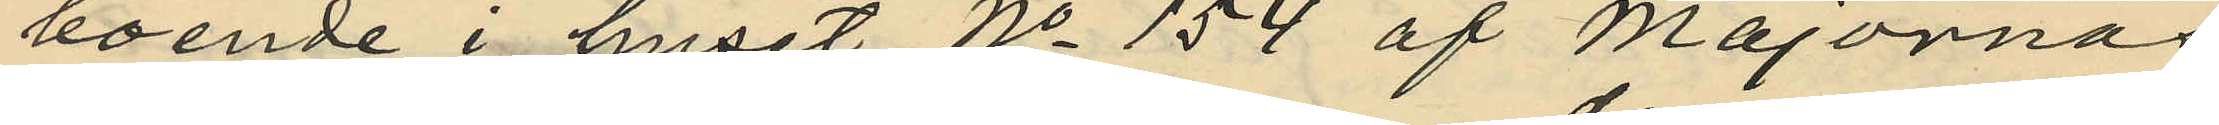boende i huset No 154 af Majornas
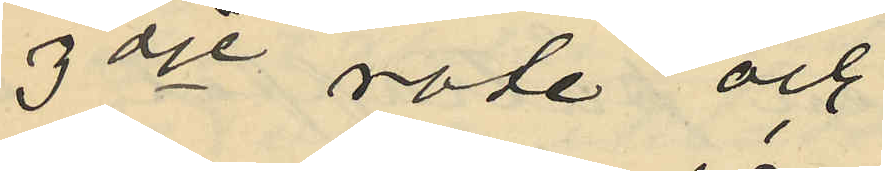3dje rote och
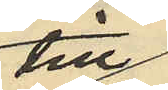till¬
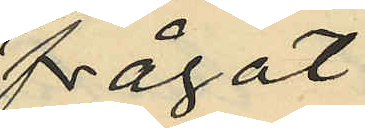frågat
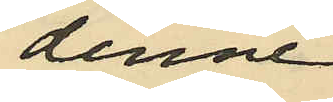denne
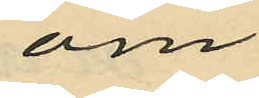om
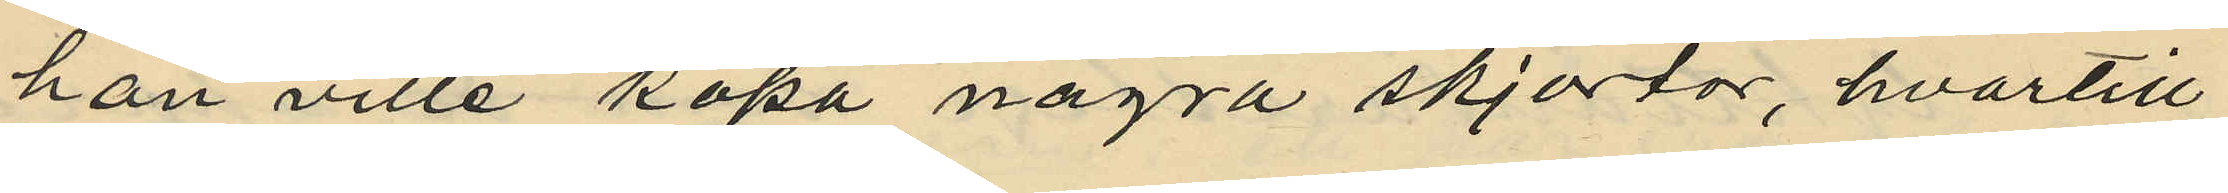han ville köpa några skjortor, hvartill
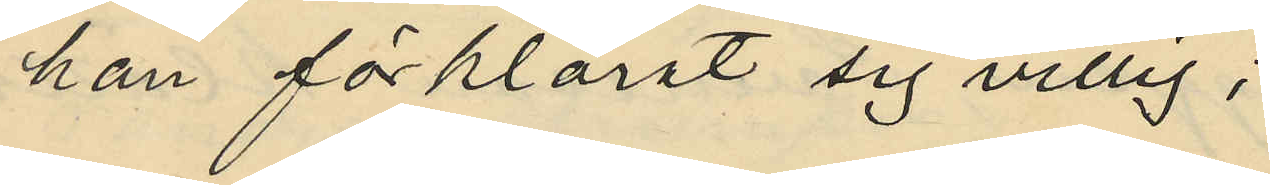han förklarat sig villig;
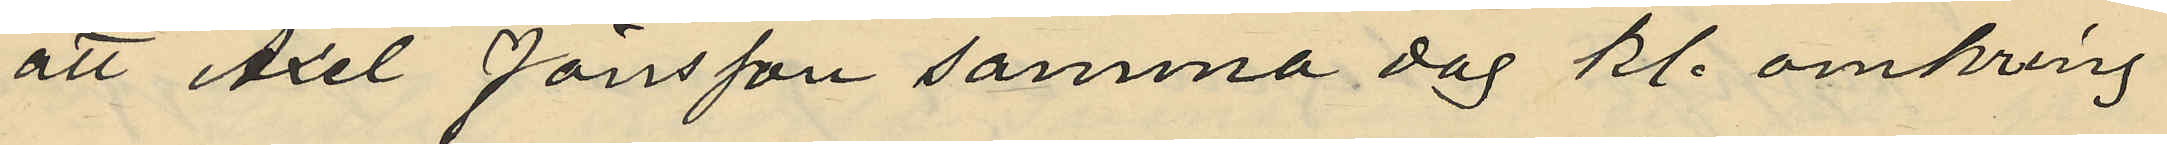att Axel Jönsson samma dag kl. omkring
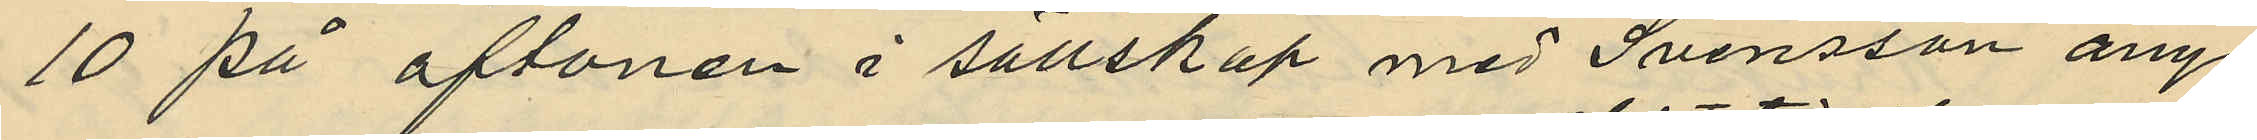10 på aftonen i sällskap med Svensson ånyo
